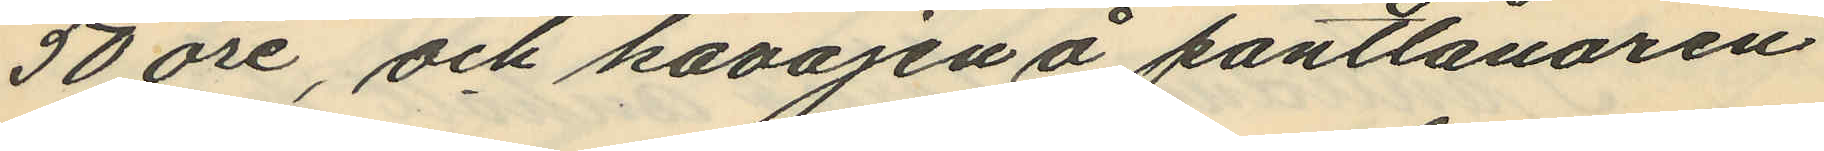50 öre, och kavajen å pantlånaren
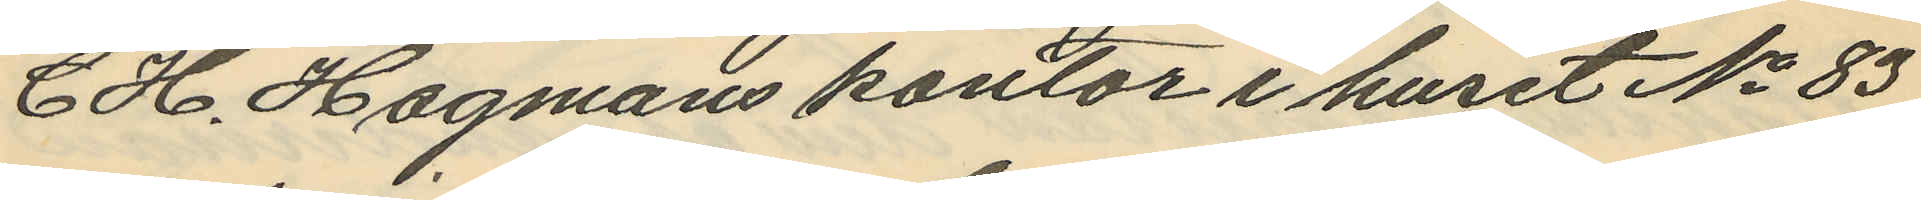C H. Hagmans kontor i huset No 83
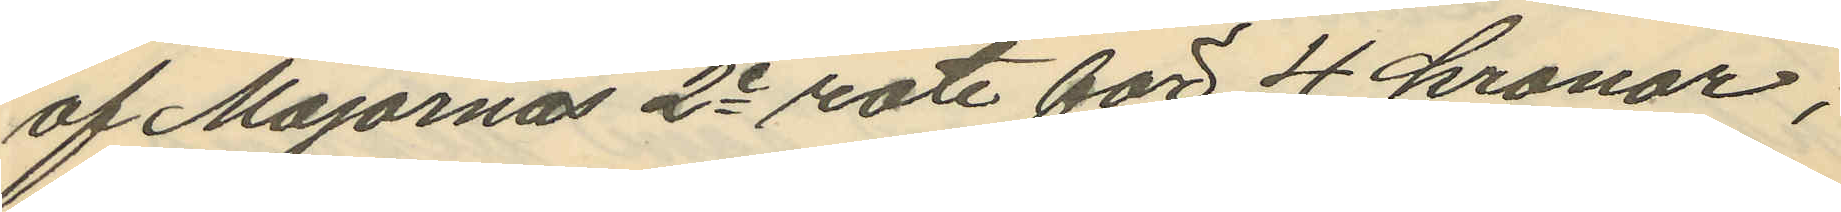af Majornas 2e rote för 4 kronor,
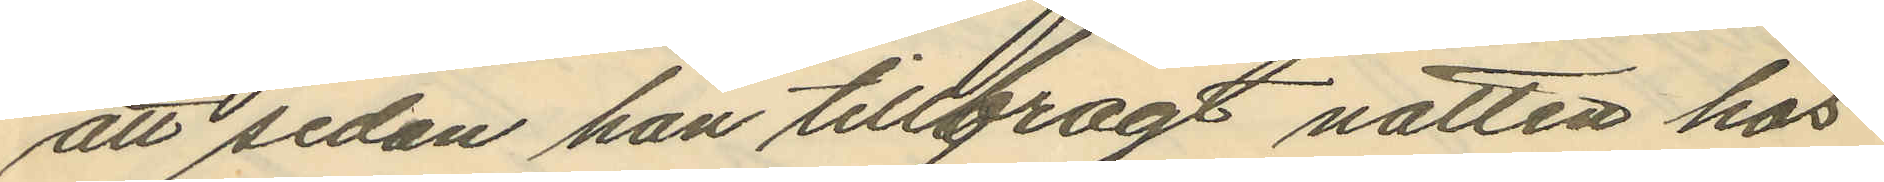att sedan han tillbragt natten hos
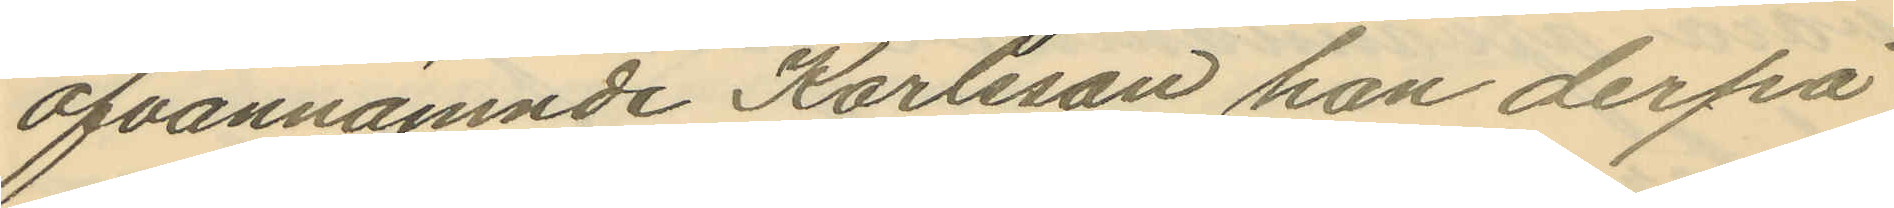ofvannämnde Karlsson han derpå
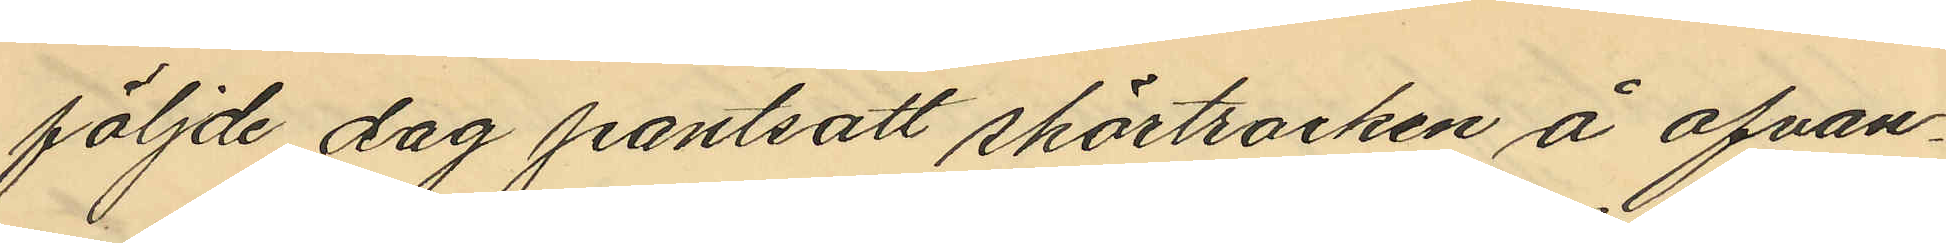följde dag pantsatt skörtrocken å ofvan¬
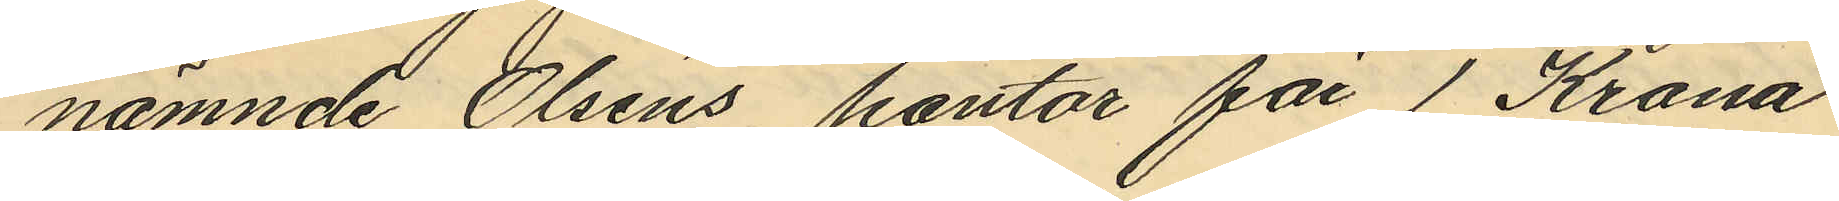nämnde Olséns kontor för 1 Krona
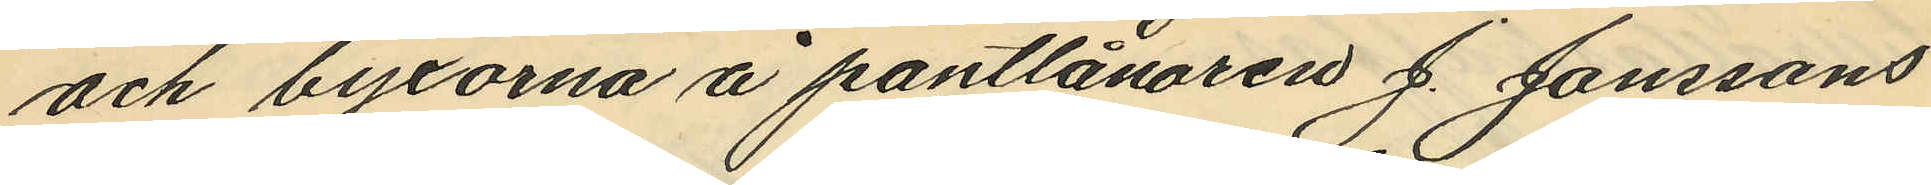och byxorna å pantlånaren J. Janssons
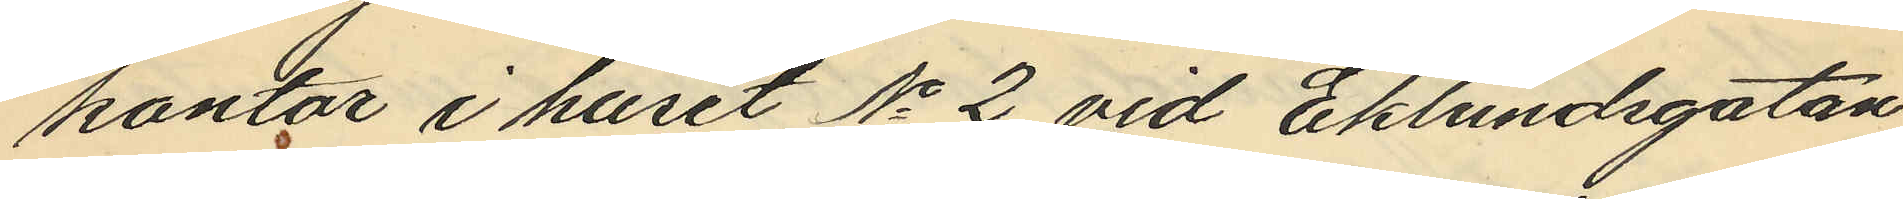kontor i huset No 2 vid Eklundsgatan
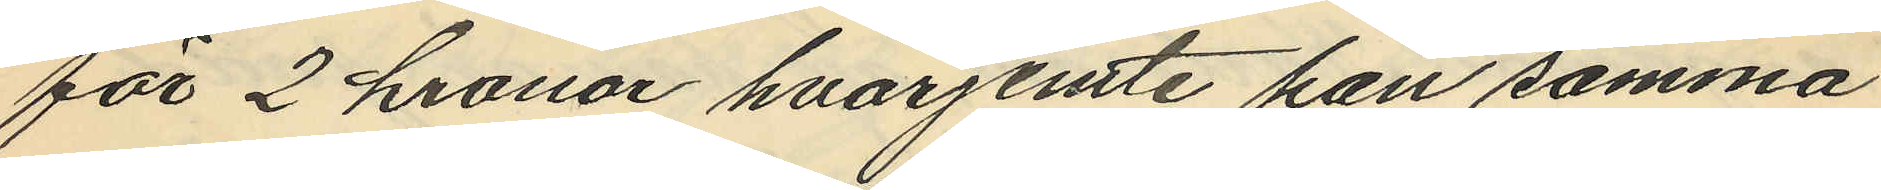för 2 kronor hvarjemte han samma
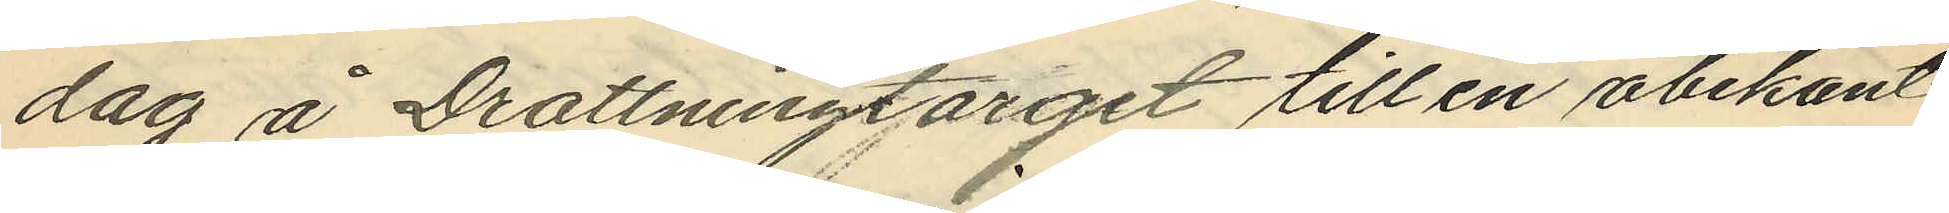dag å Drottningtorget till en obekant
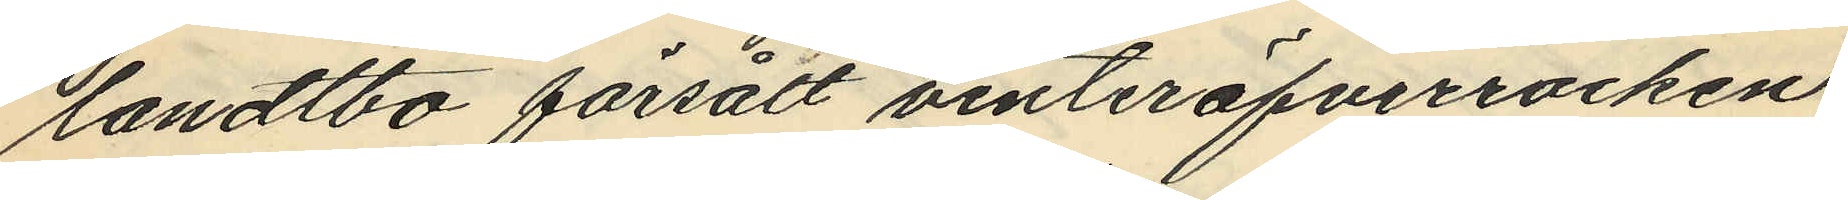landtbo försålt vinteröfverrocken
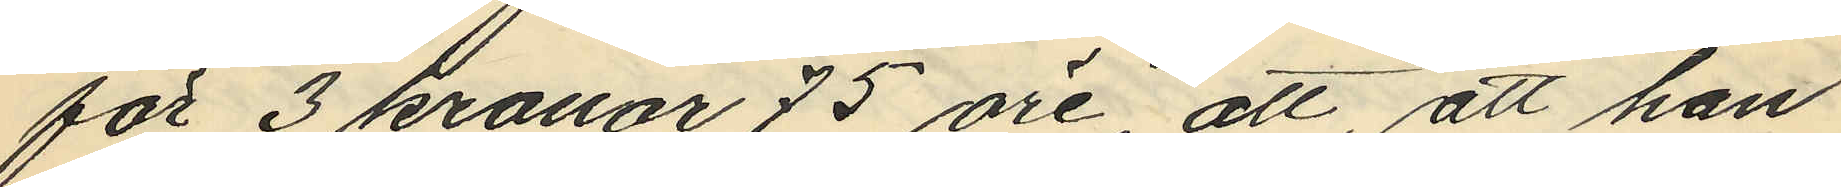för 3 kronor 75 öre, att, att han
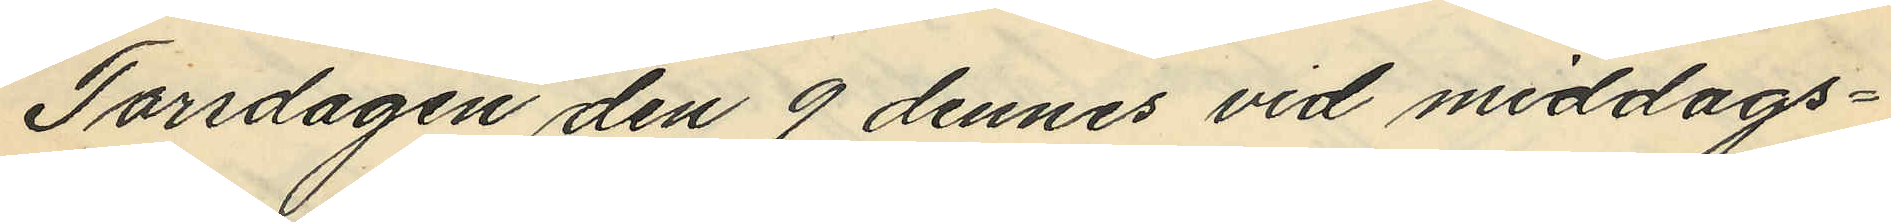Torsdagen den 9 dennes vid middags¬
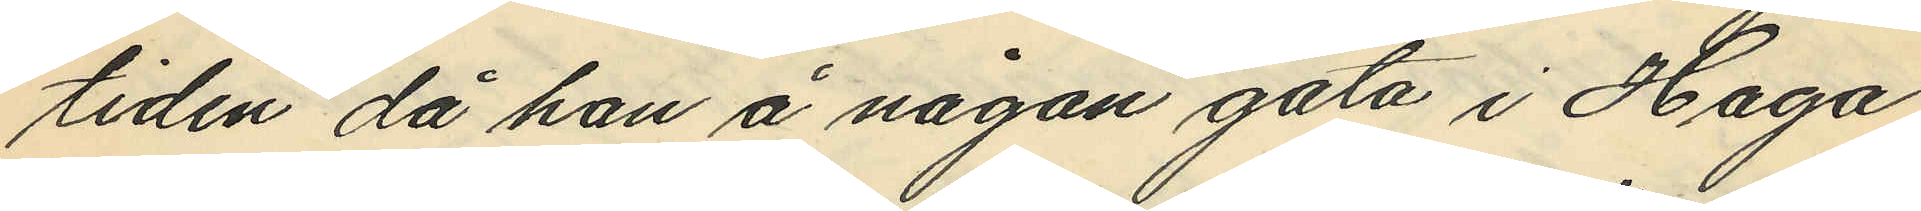tiden då han å någon gata i Haga
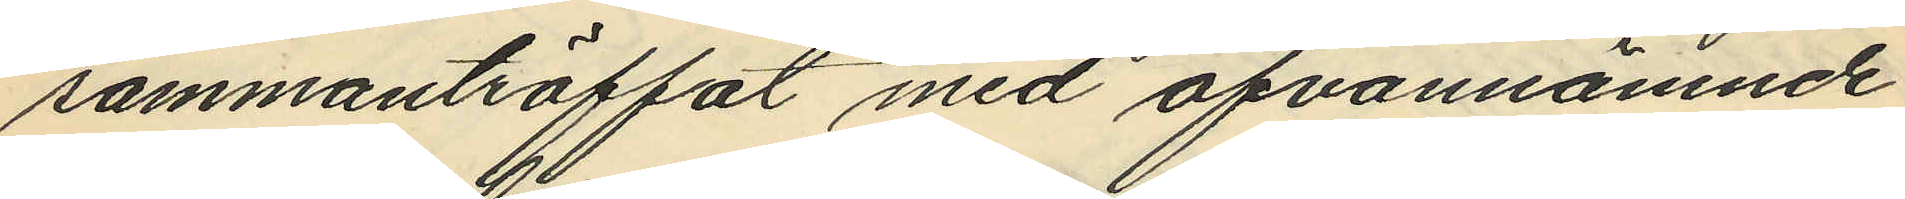sammanträffat med ofvannämnde
